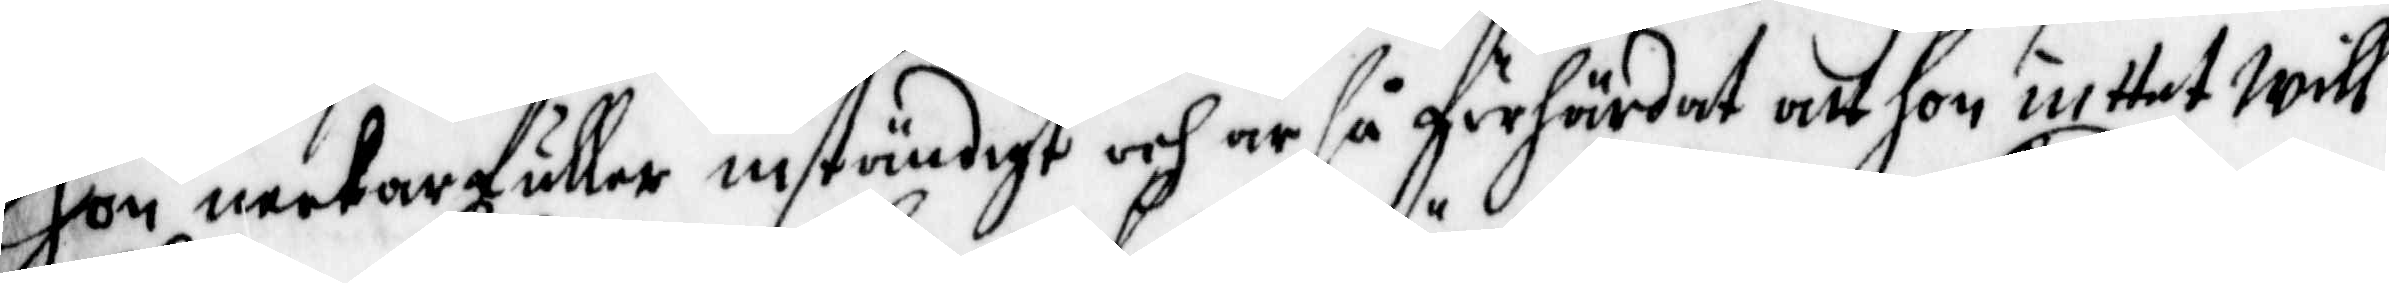Hon neekar fuller inständiggt och är så förhärdat att hon inttet will
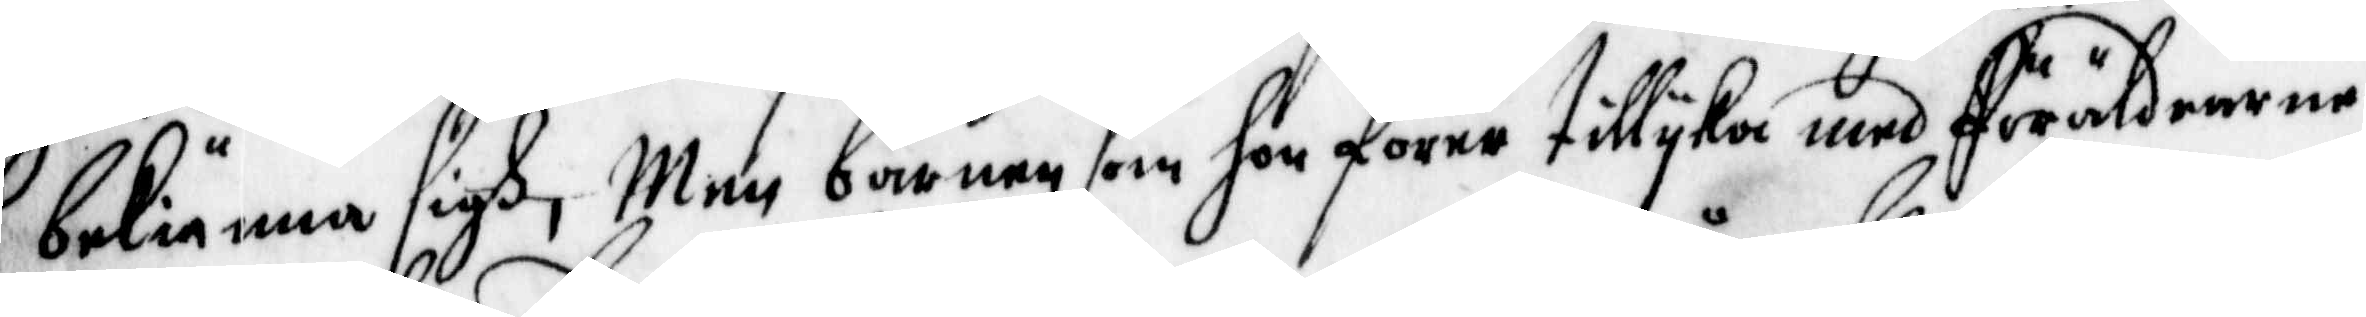bekiänna sigh, men barnen som hon förre tillyka med föräldrarna
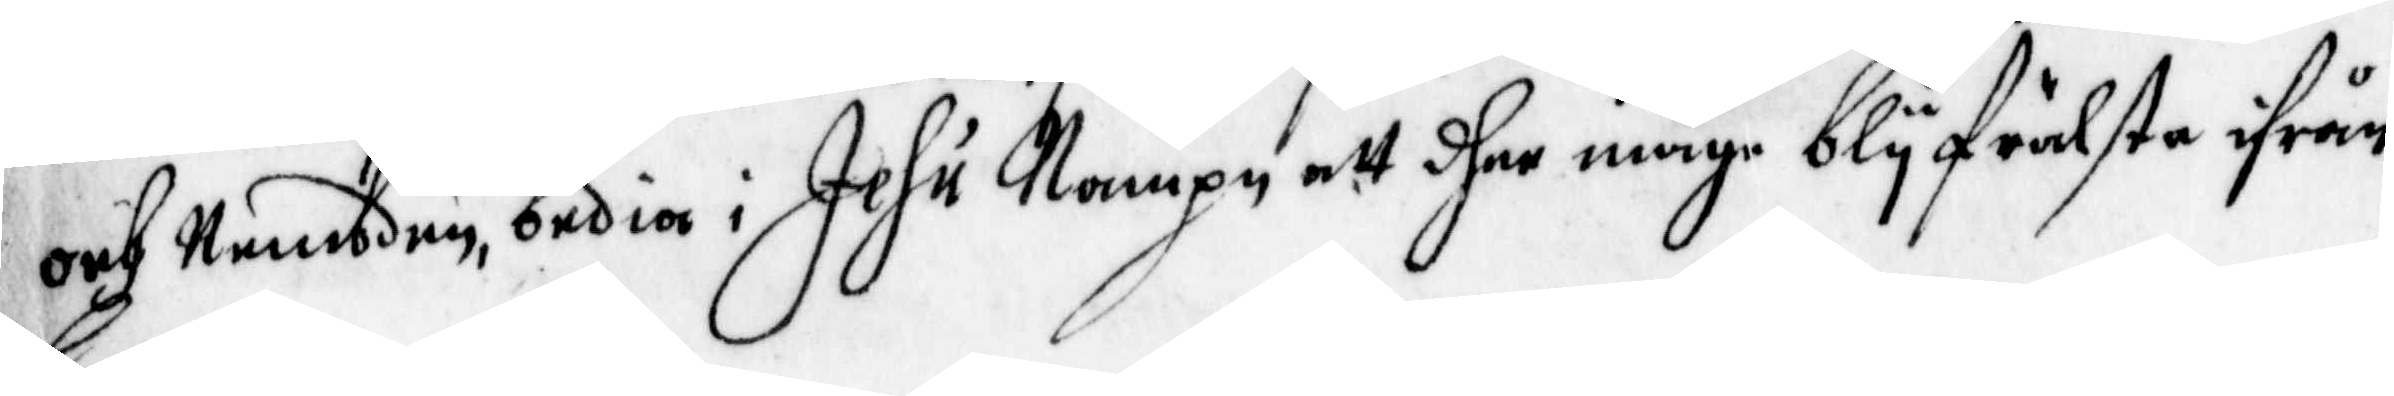och Nembden, bedia i Jesu Nampn att dher måge bly frälste ifrån
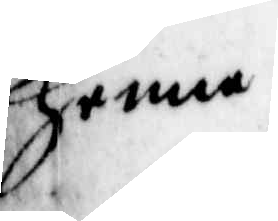henne.
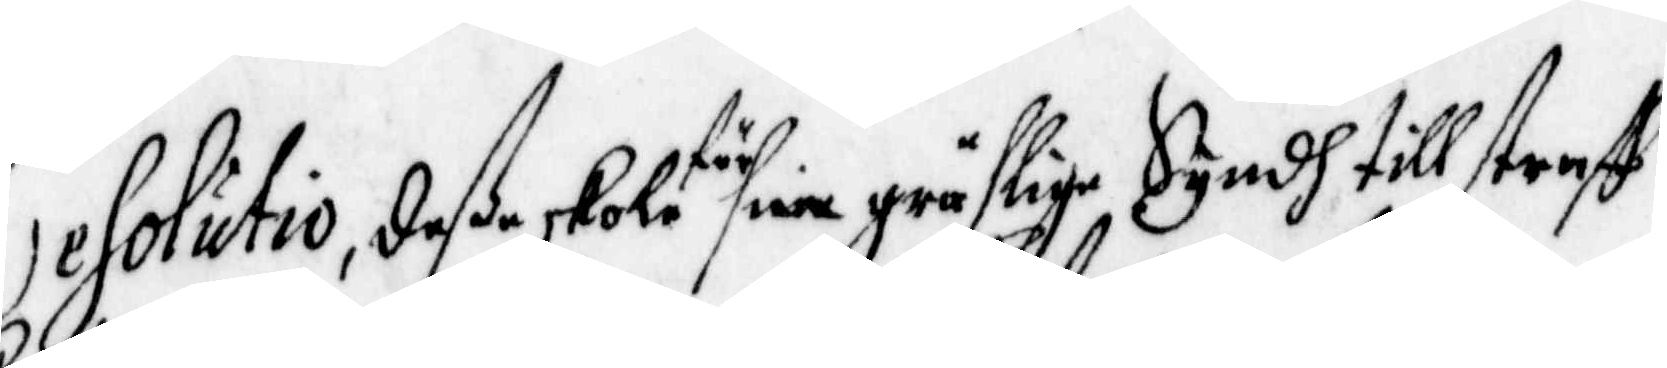Resolutio, deße skole för sine gräslige Syndh till straff
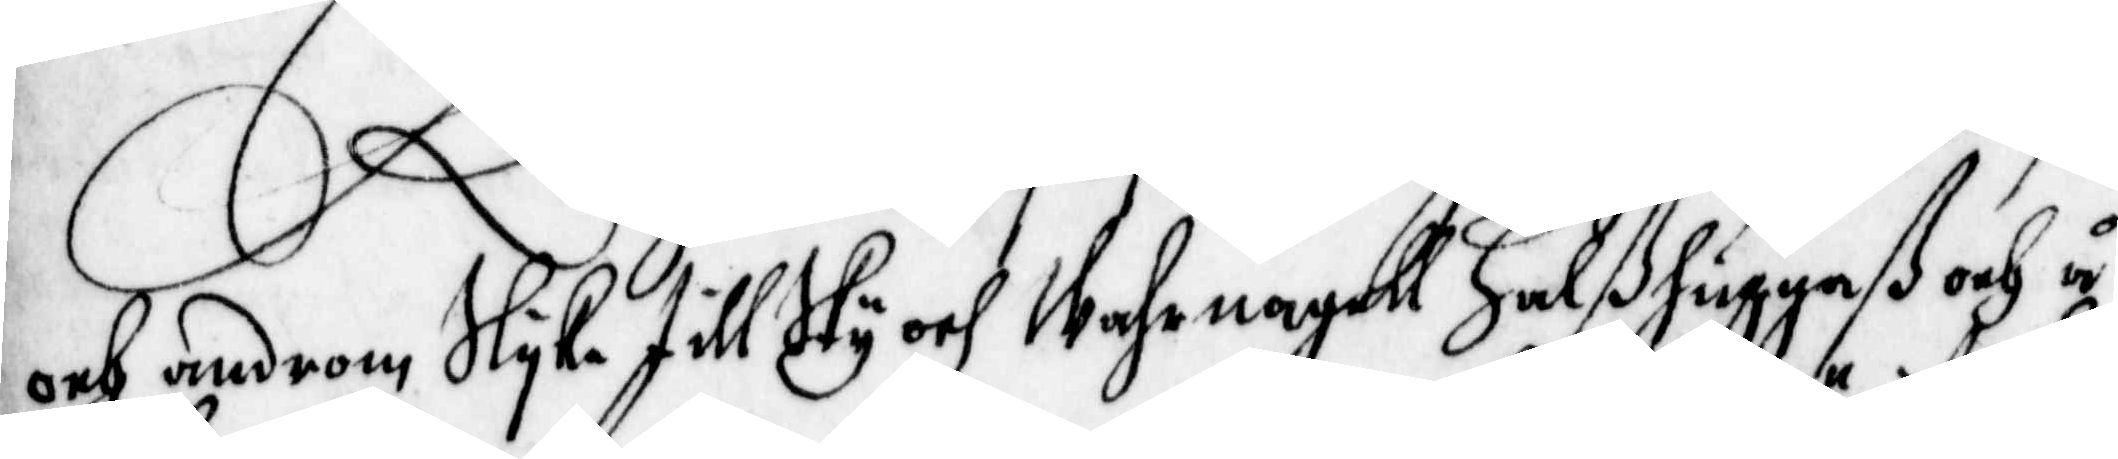och androm Slyka till Sky och Wahrnagell Halßhuggaß och å
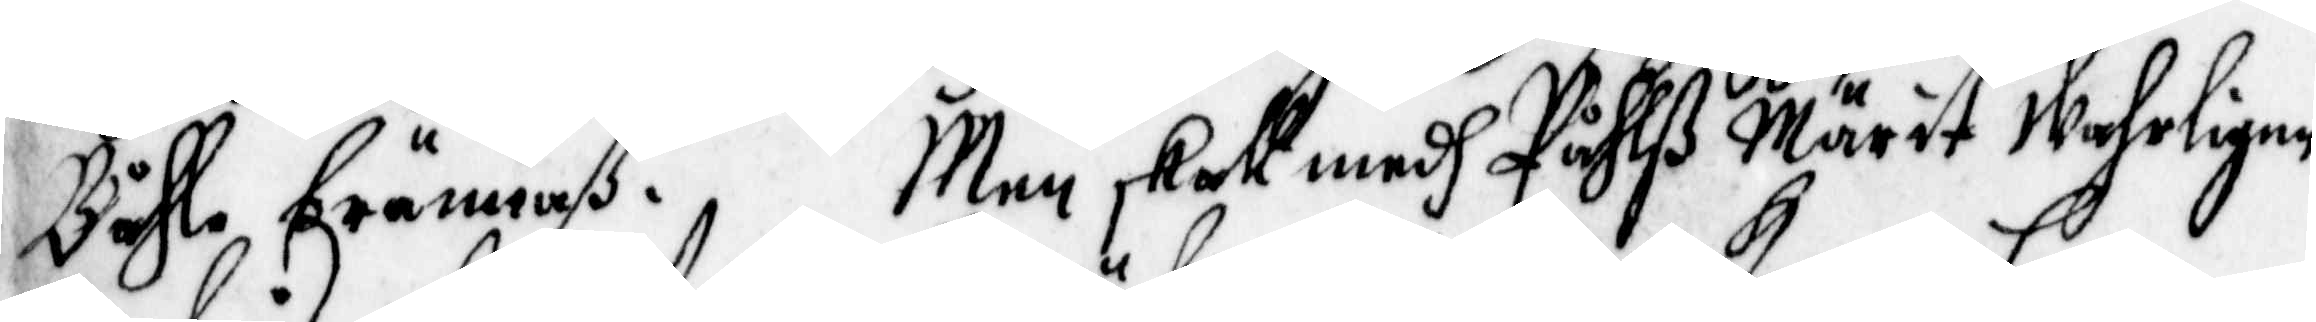Båhle brännaß. Men skall medh Påhlß Märit wahrligen
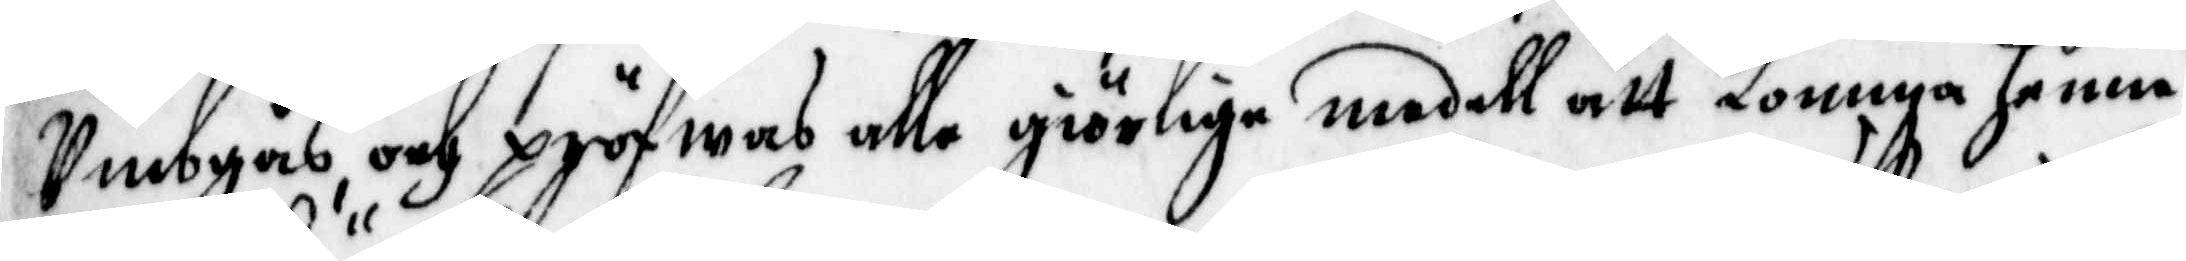Umbgås och pröfwas alla giörlige medell att komma henne
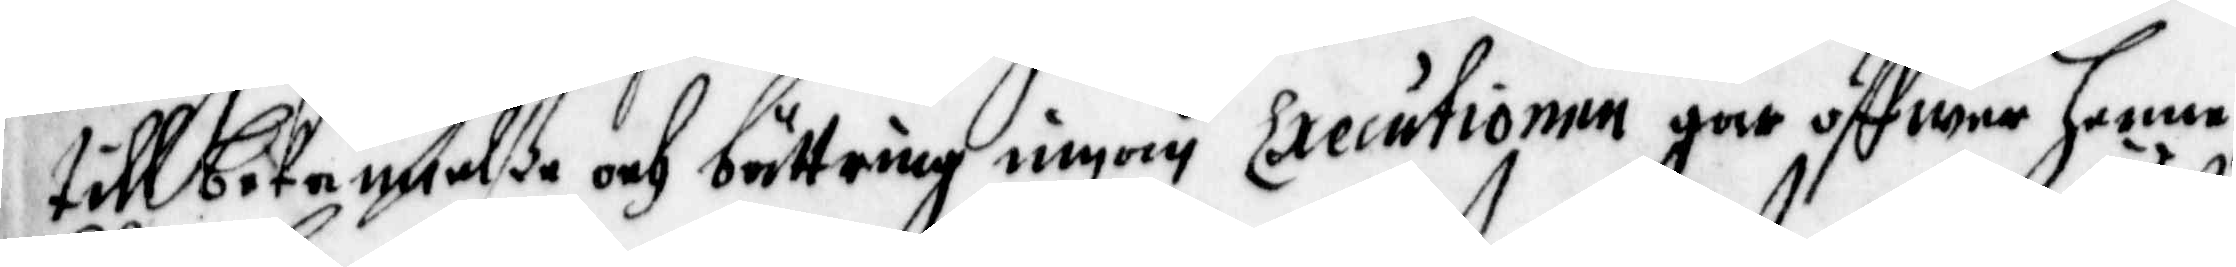till bekännelße och bättring innan Executionen går öffwer henne,
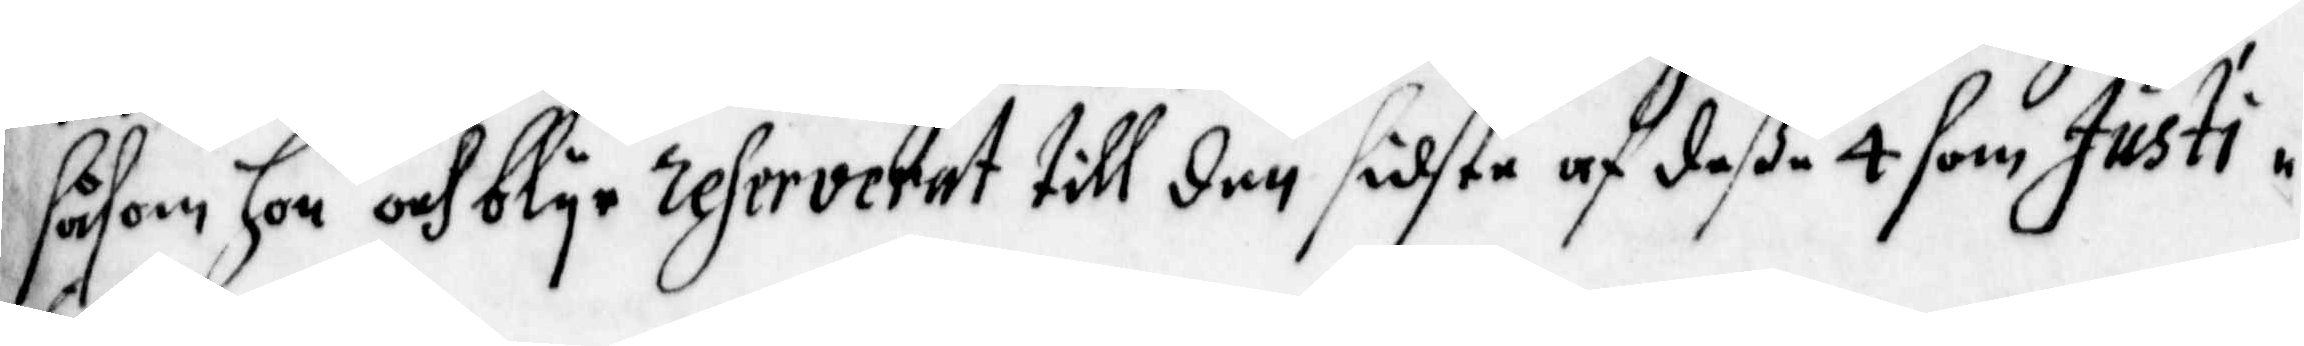såsom hon och blyr referverat till den sidste af deße 4 som justi¬
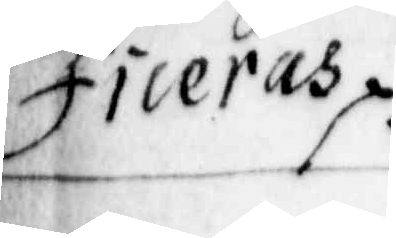ficeras.
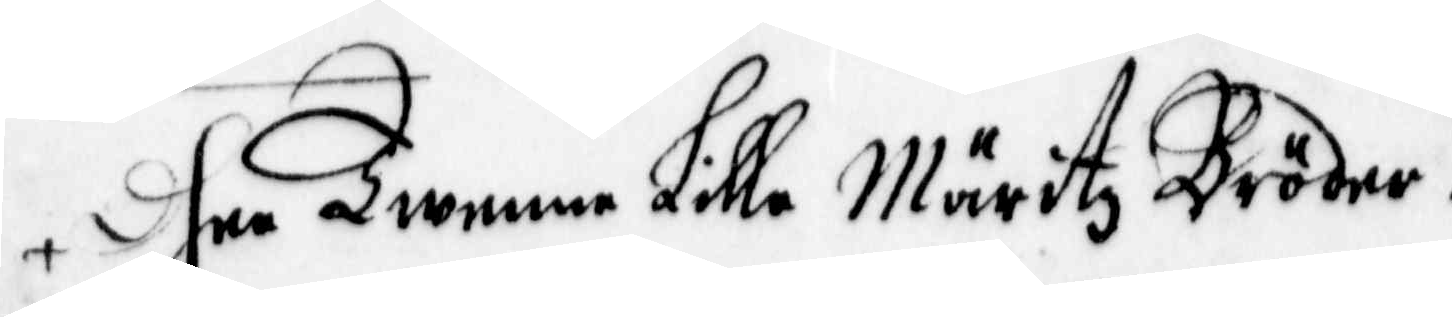dhee Twenne Lille Märitz Bröder.
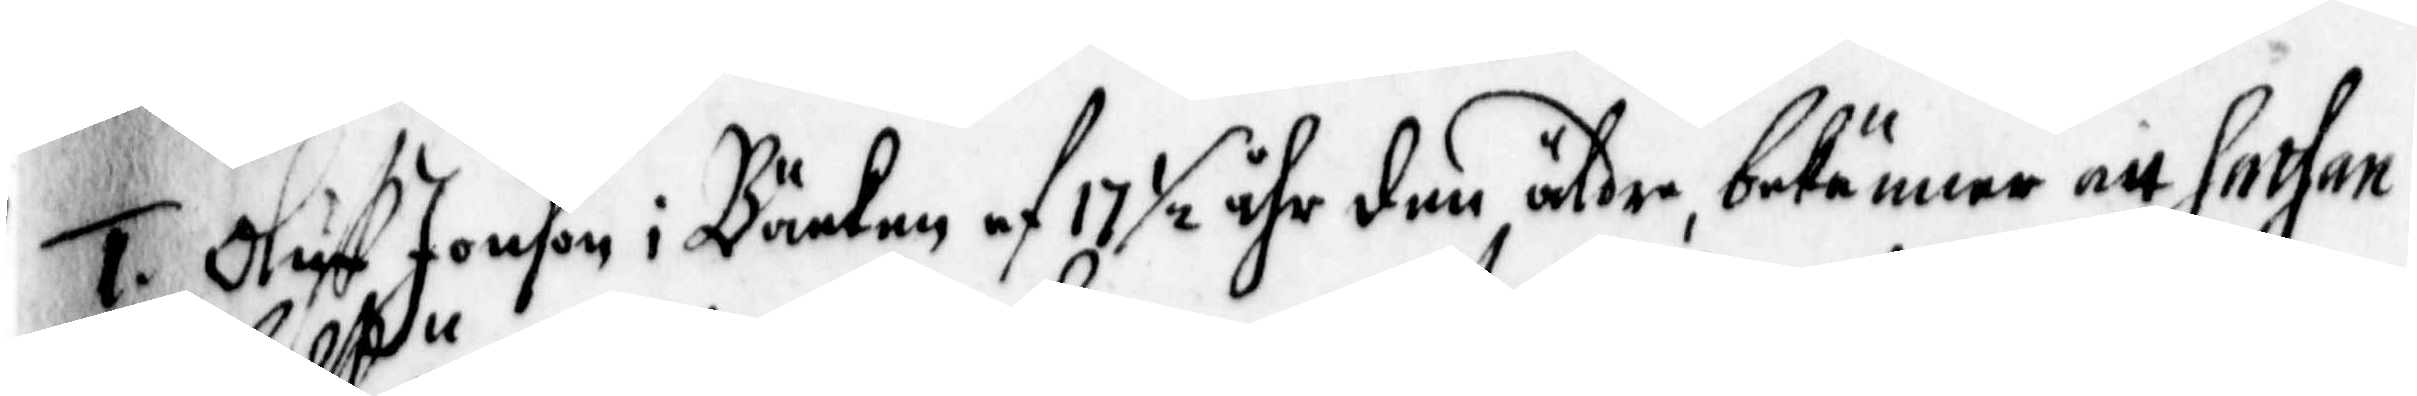1. Oluff Jonson i Bäcken af 17 ½ åhr den äldre, bekänner att Sathan
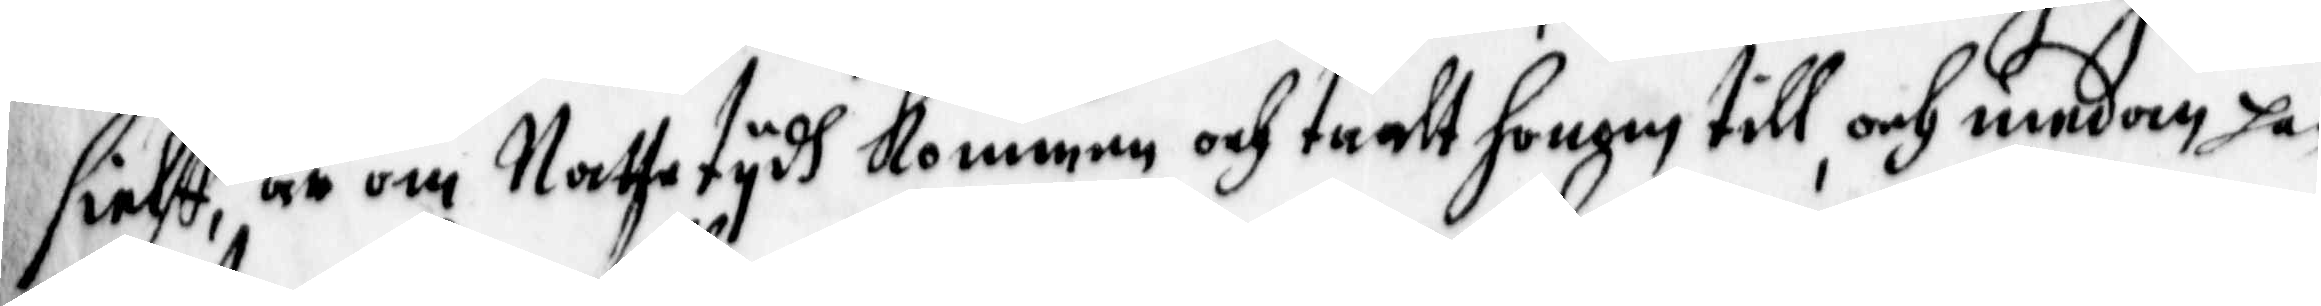sielff, är om Nattetydh kommen och taalt honom till, och medan han
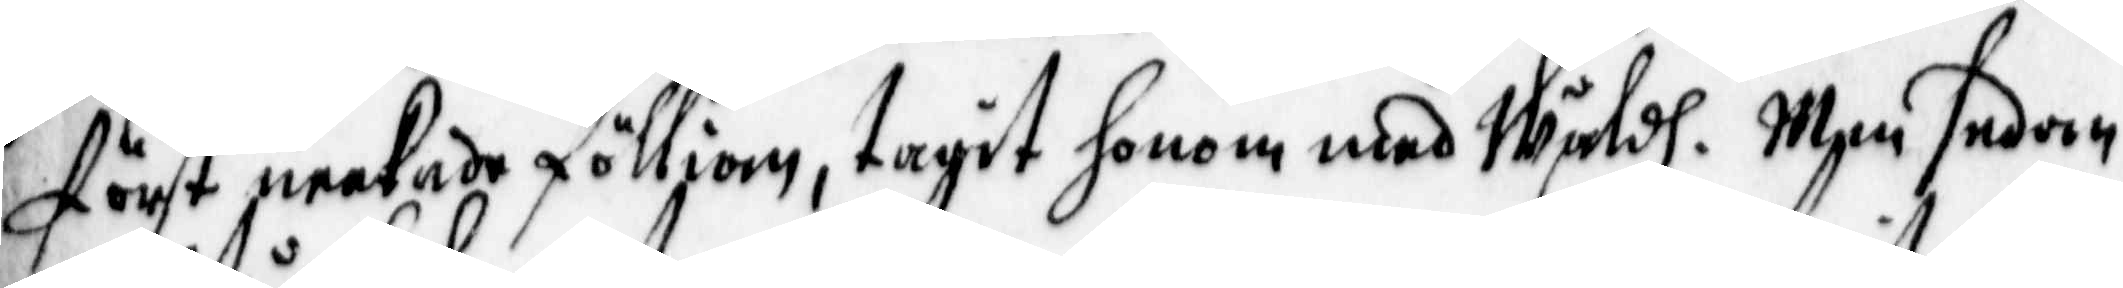först neekade fölliom, tagit honom med Wåldh. Men sedan
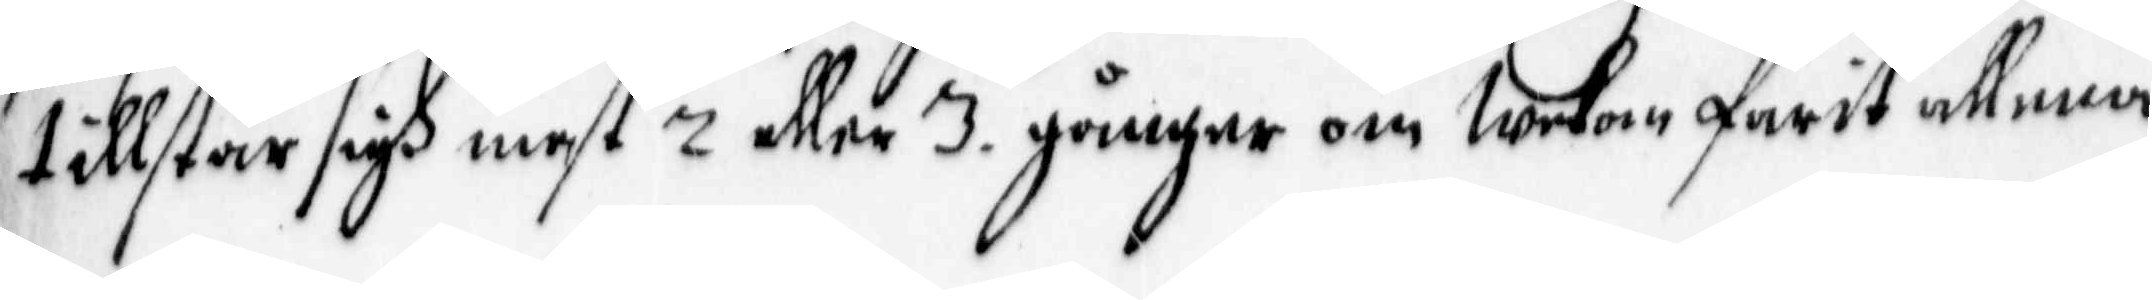,tillstår sigh mest 2 eller 3 gånger om Wekan farit allena
